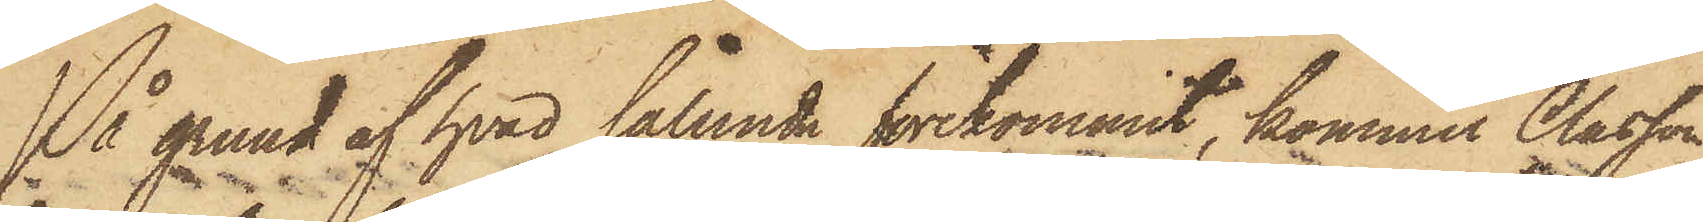På grund af hvad sålunda förekommit, kommer Classon
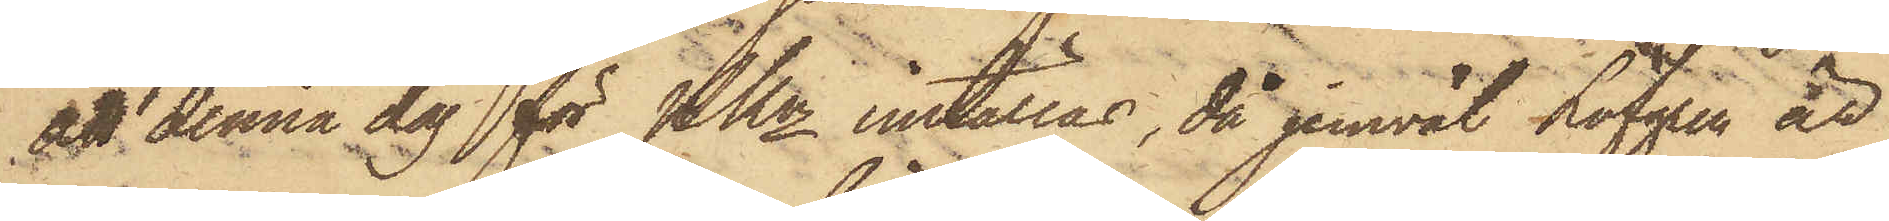att denna dag för PKn inställas, då jemväl Löfgren är
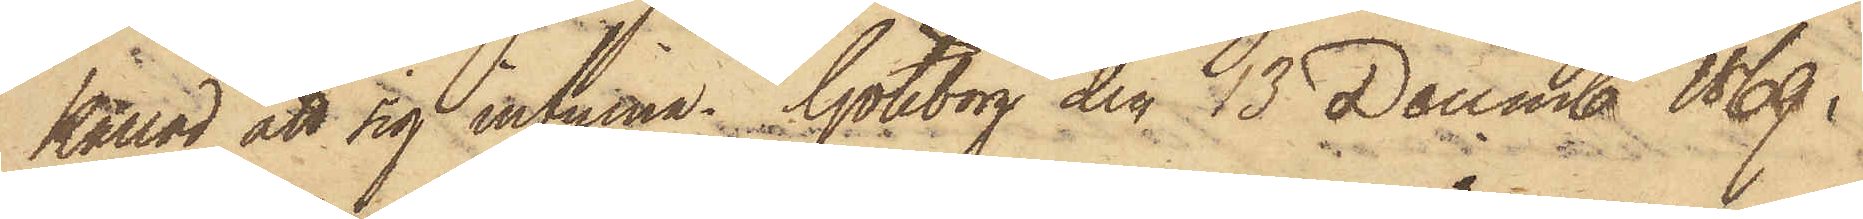kallad att sig infinna. Göteborg den 13 Decemb 1869.
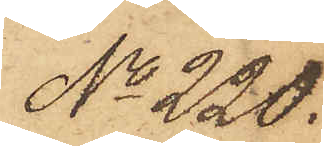No 220.
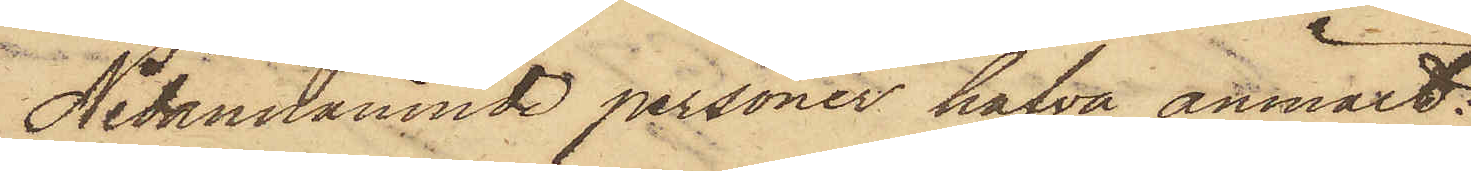Nedannämnde personer hafva anmält:
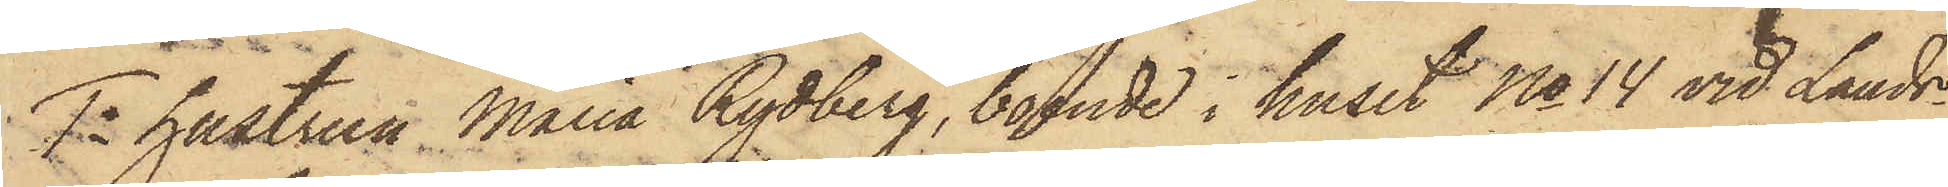1o hustrun Maria Rydberg, boende i huset No 14 vid Lands¬
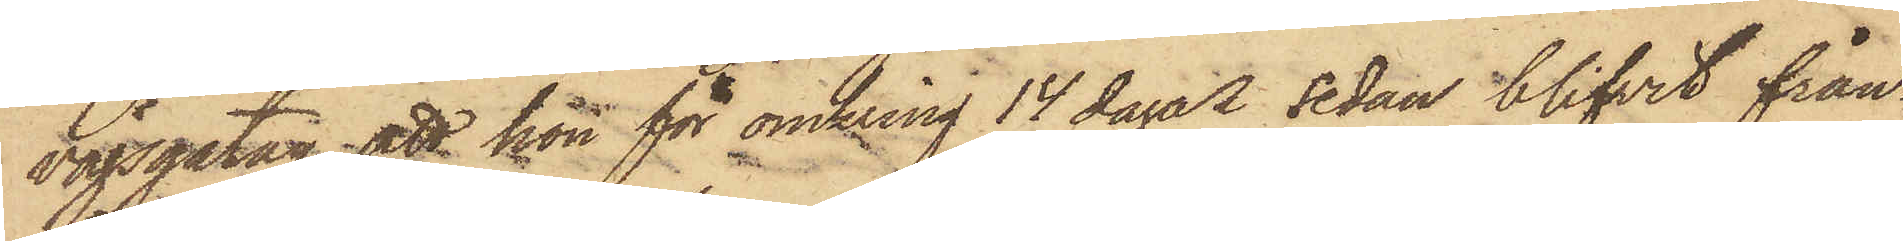vägsgatan, att hon för omkring 14 dagar sedan blifvit från¬
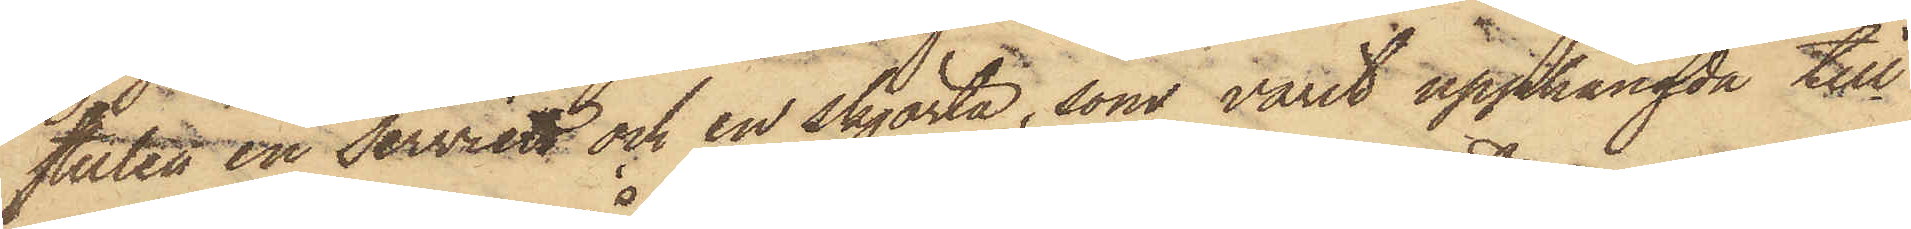stulen en serviett och en skjorta, som varit upphängda till
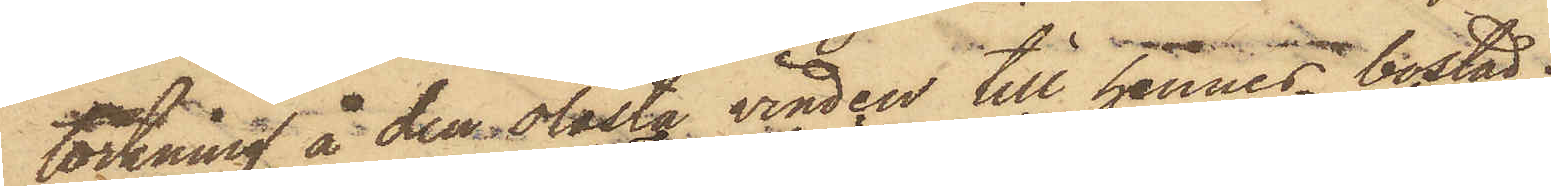torkning å den olåsta vinden till hennes bostad;
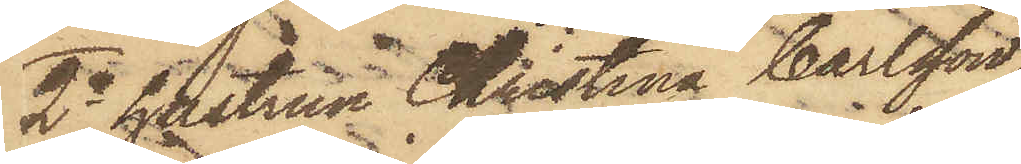2o hustrun Christina Carlsson
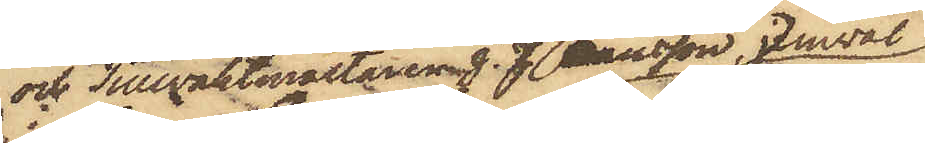och Tullvaktmästaren J. J. Hansson, jemväl
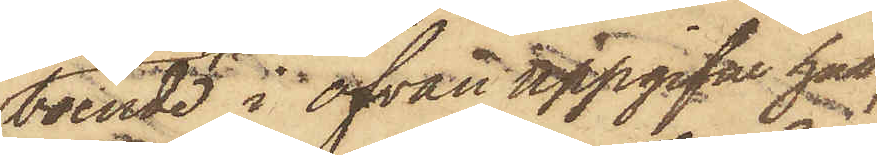boende i ofvan uppgifvet hus,
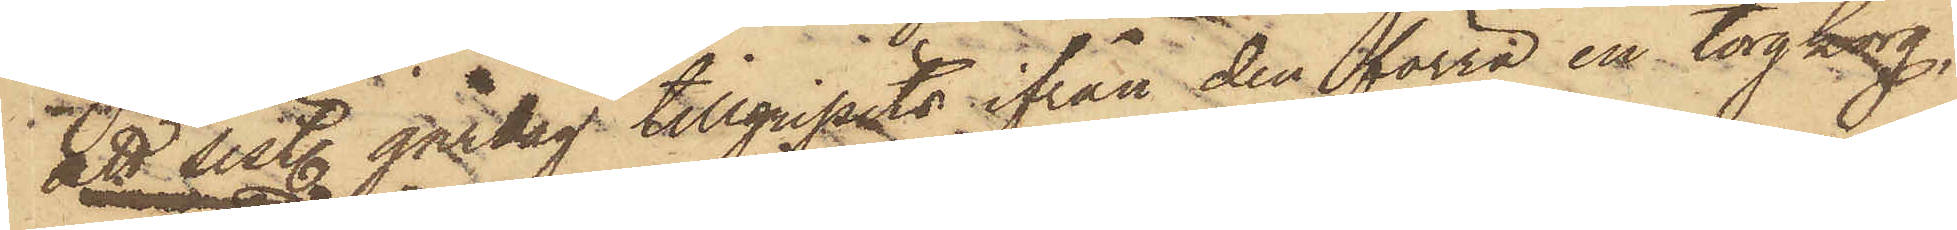att sistl. gårdag tillgripits ifrån den förra en torgkorg,
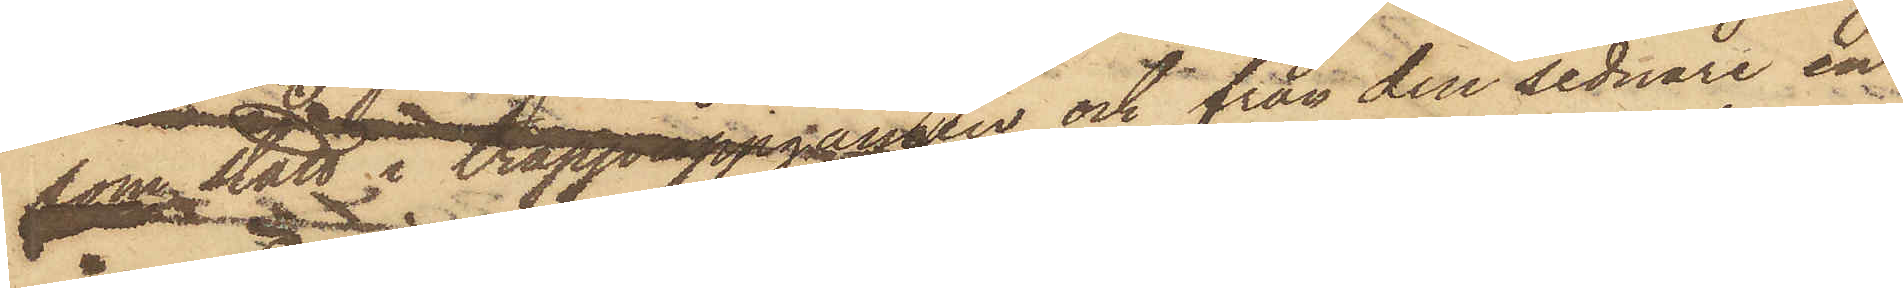som stått i trappuppgången och från den sednare en
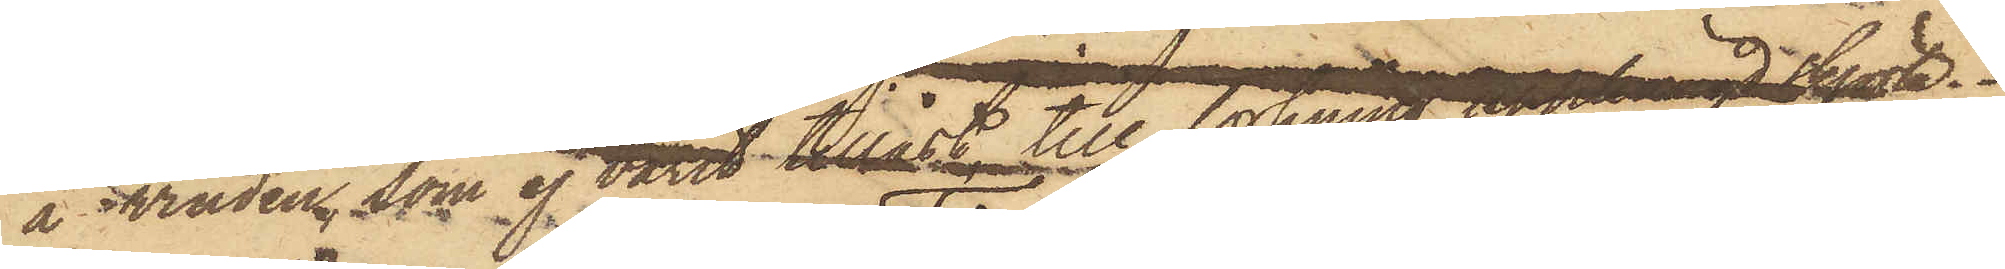å vinden, som ej varit tillåst, till torkning upphängd skjorta.
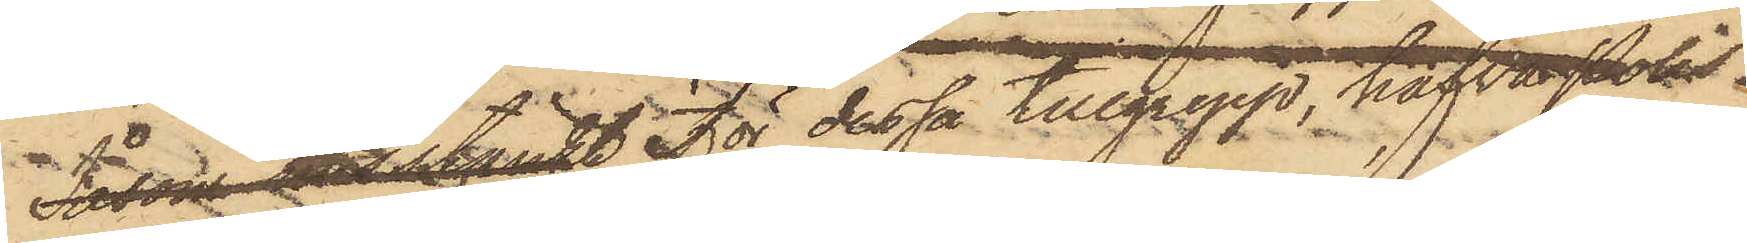Såsom misstänkt för dessa tillgrepp, hafva Polis¬
